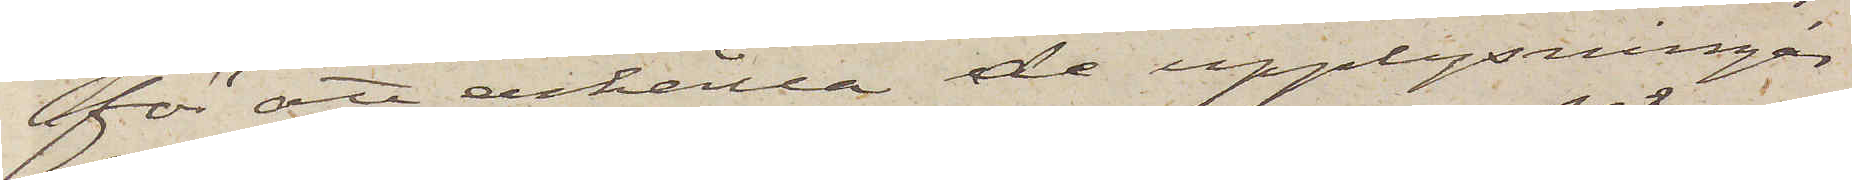för att erhålla de upplysningar
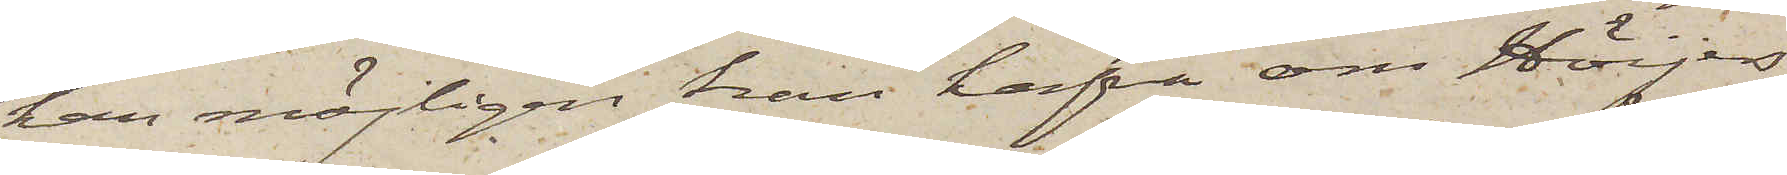han möjligen kan hafva om Höijers
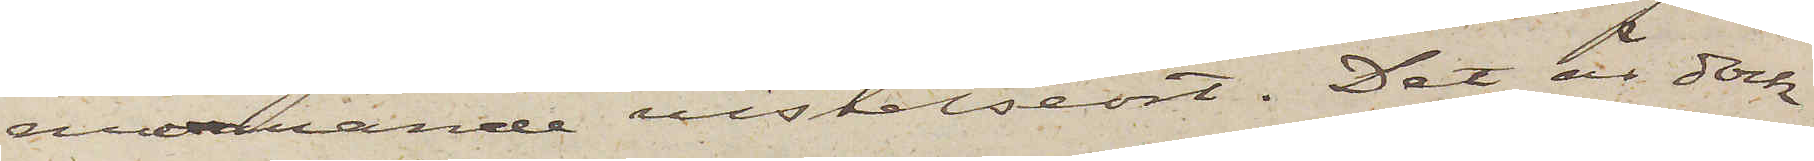nuvarande vistelseort. Det är dock
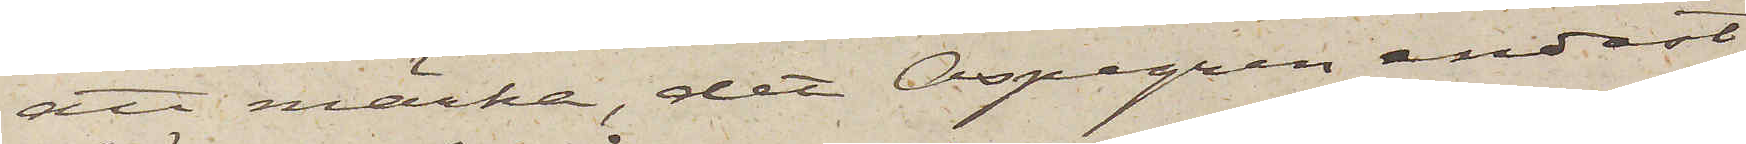att märka, det Aspegren endast
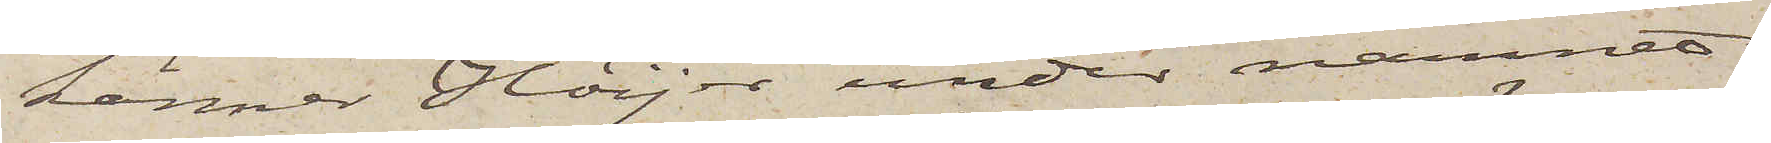känner Höijer under namnet
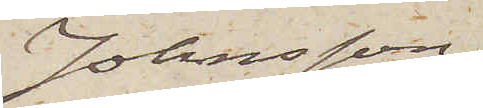Johnsson
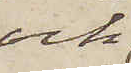och
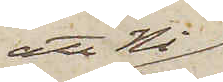att Ni
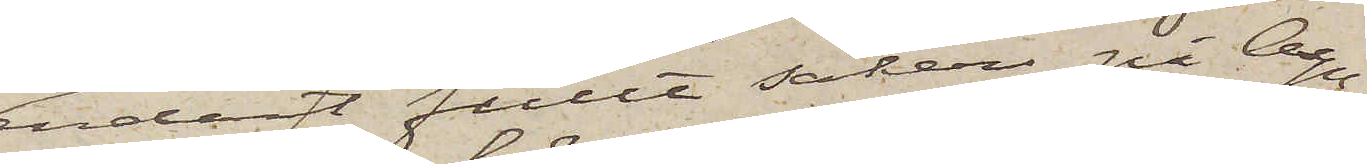endast fullt säker på Aspe¬
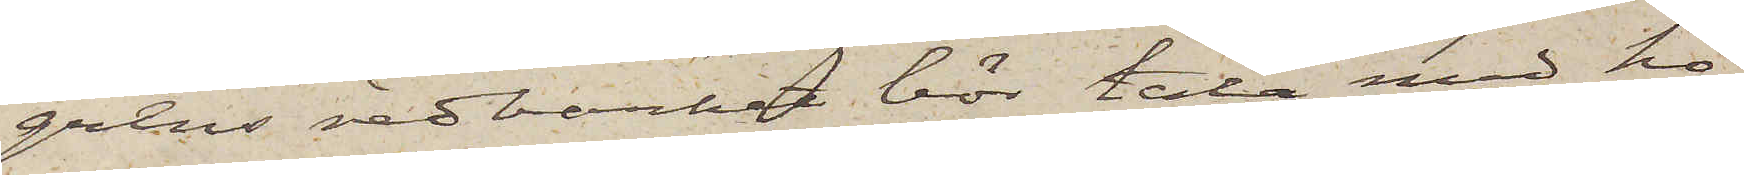grens redbarhet bör tala med ho¬
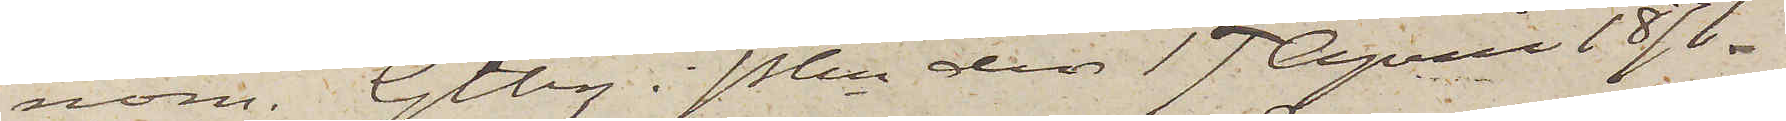nom. Gtbg i Pkn den 17 April 1871.
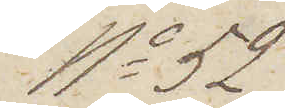No 52
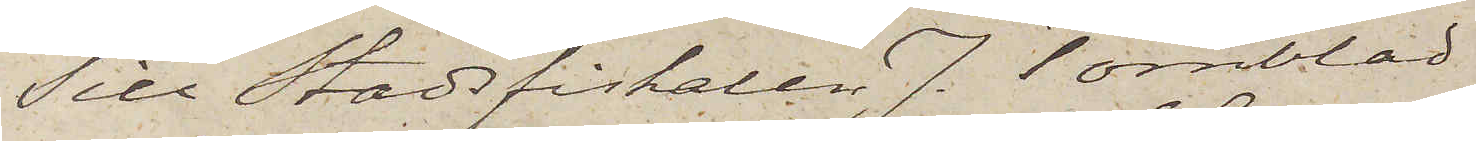Till Stadsfiskalen J. Törnblad
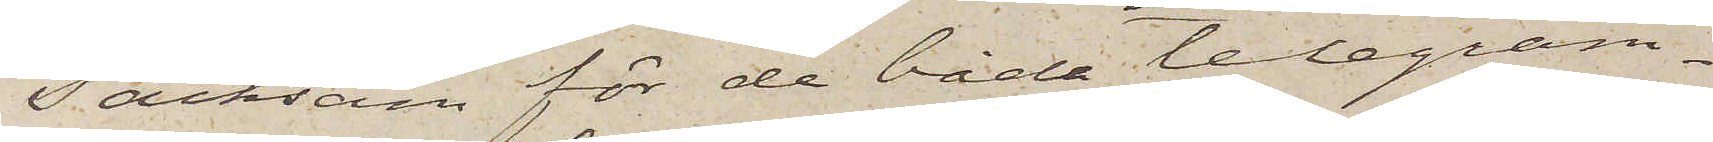Tacksam för de båda telegram¬
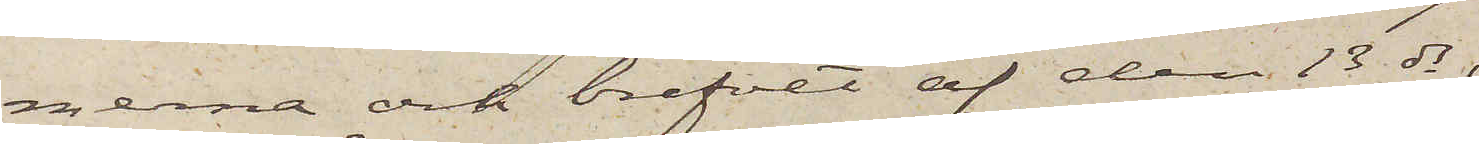merna och brefvet af den 13 ds,
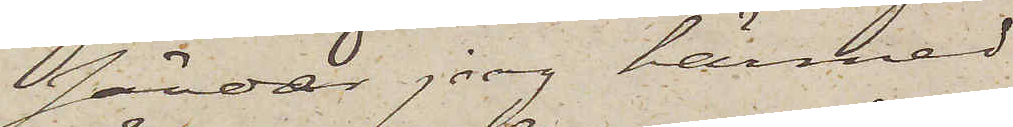sänder jag härmed
